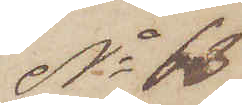No 63.
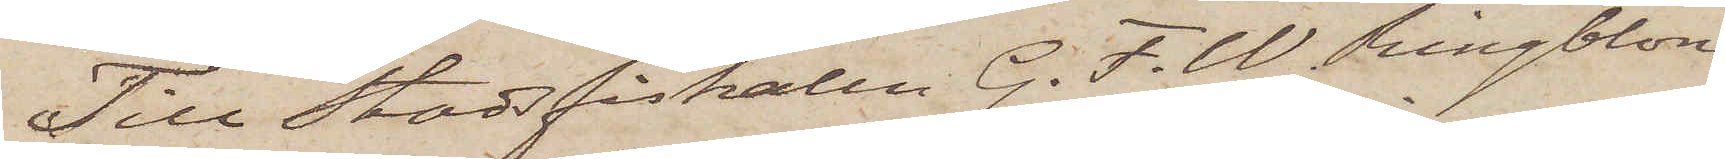Till Stadsfiskalen G. F. W. Ringblom
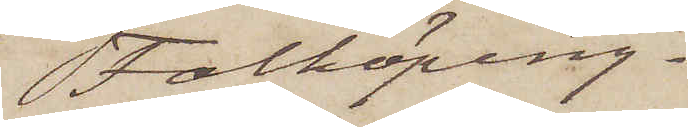Falköping.
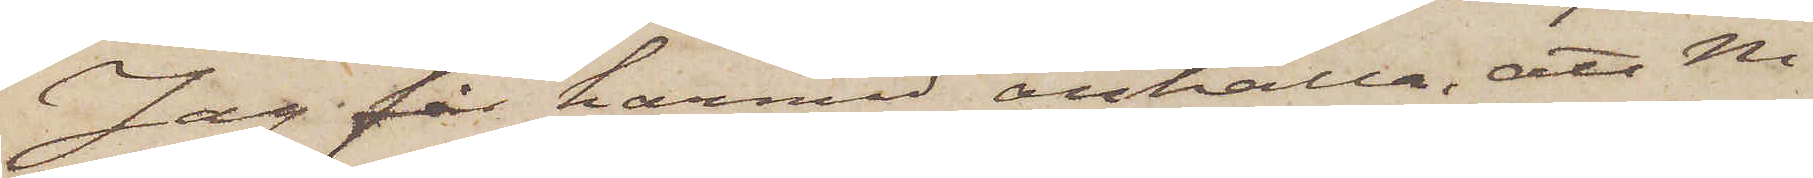Jag får härmed anhålla, att Ni
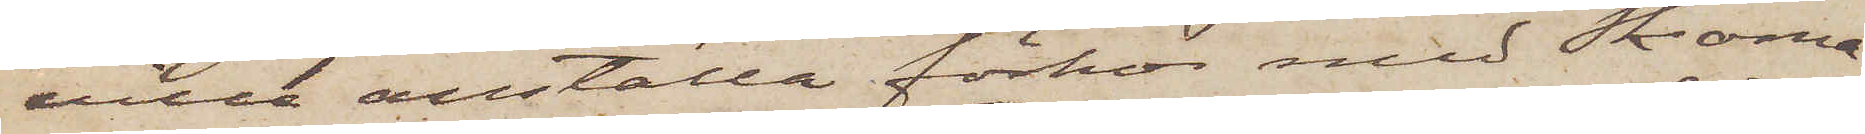ville anställa förhör med Skoma¬
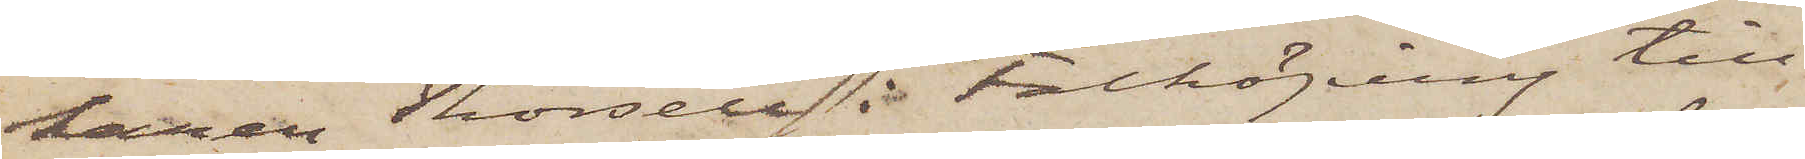karen Thorsell i Falköping till
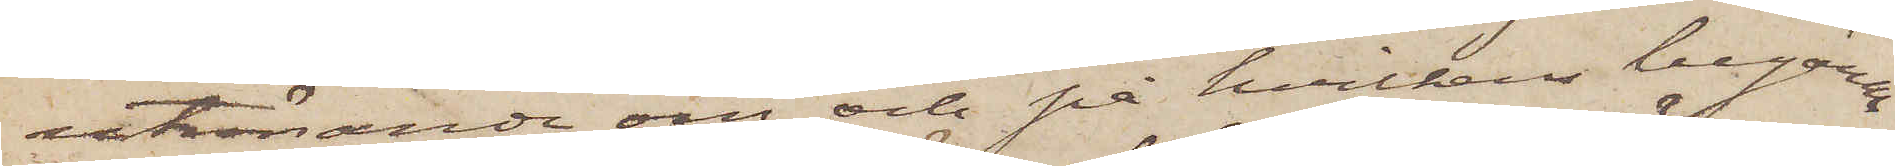utrönande om och på hvilkens begäran
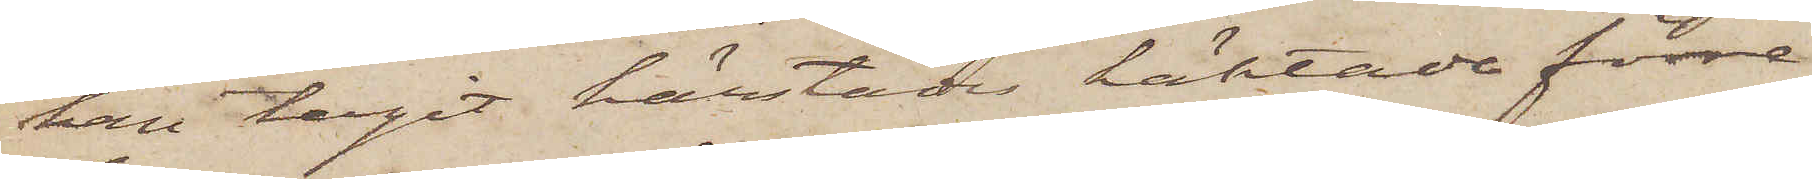han tagit härstädes häktade förre
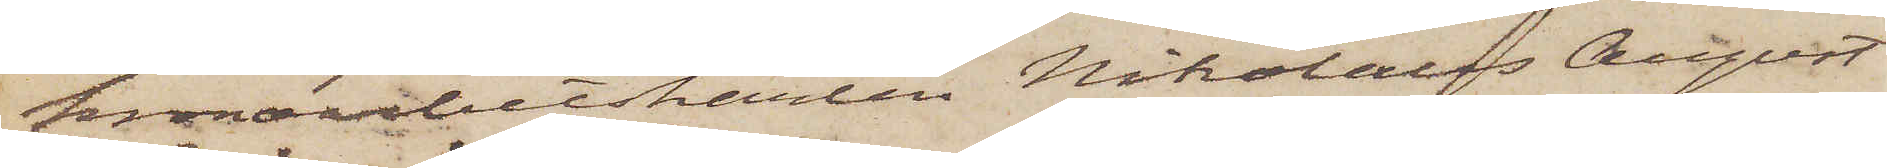kronoarbetskarlen Nikolaus August
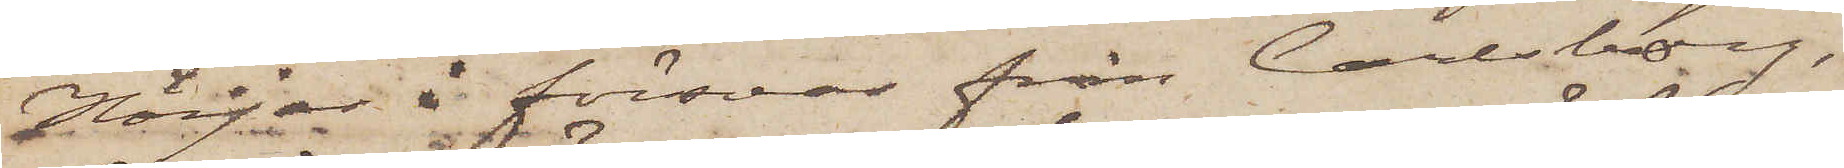Höijer i försvar från Carlsborg,
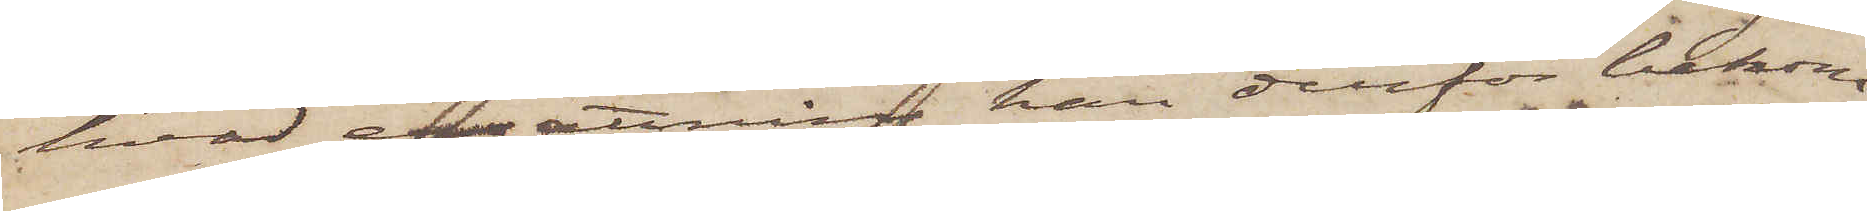hvad ersättning han derför bekom¬
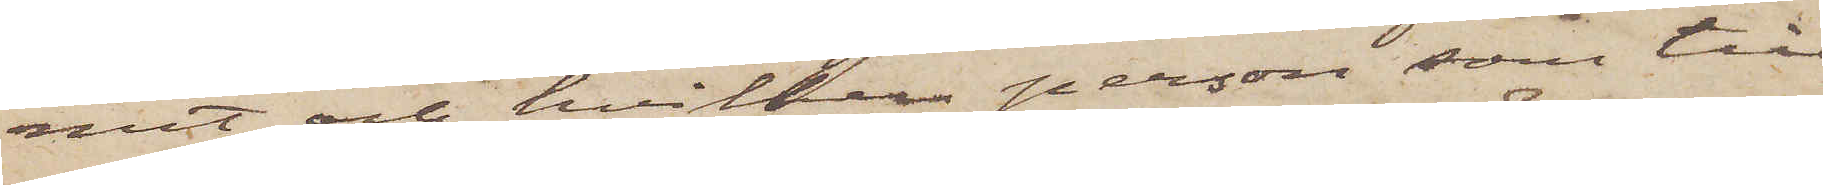mit och hvilken person, som till
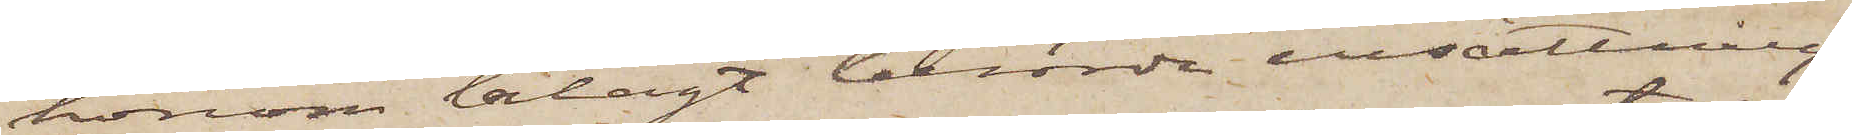honom erlagt berörde ersättning,
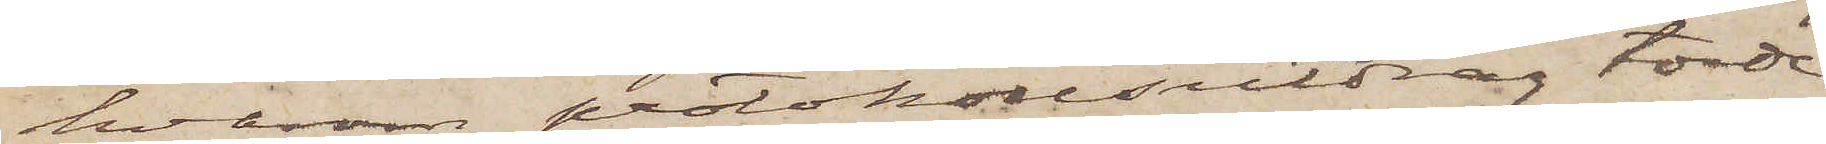hvarom protokollsutdrag torde
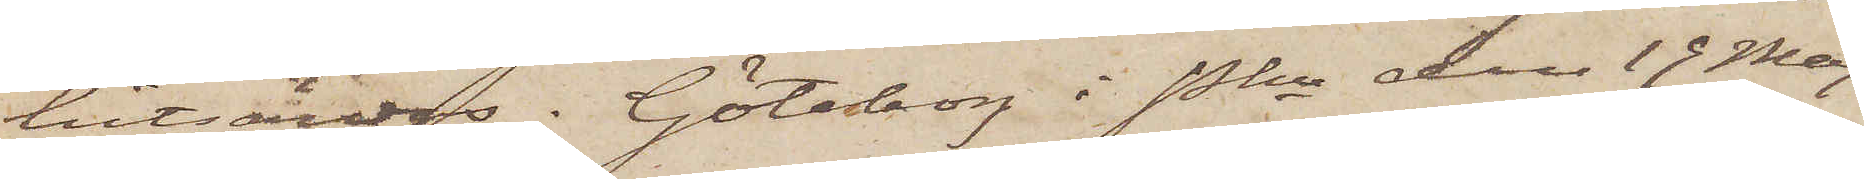hitsändes. Göteborg i Pkn den 19 Maj
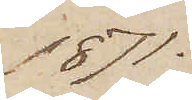1871.
